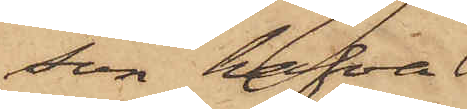son hafva
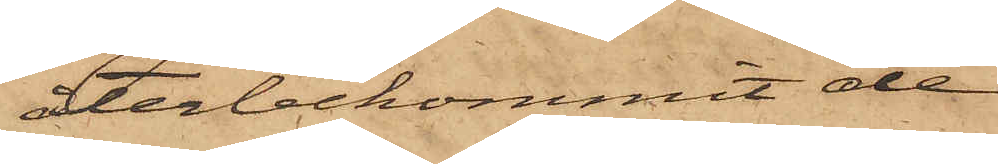återbekommit de
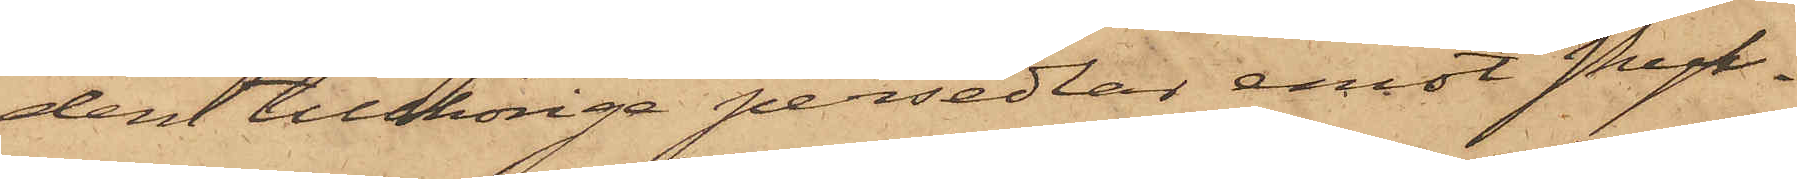dem tillhöriga persedlar emot skyl¬
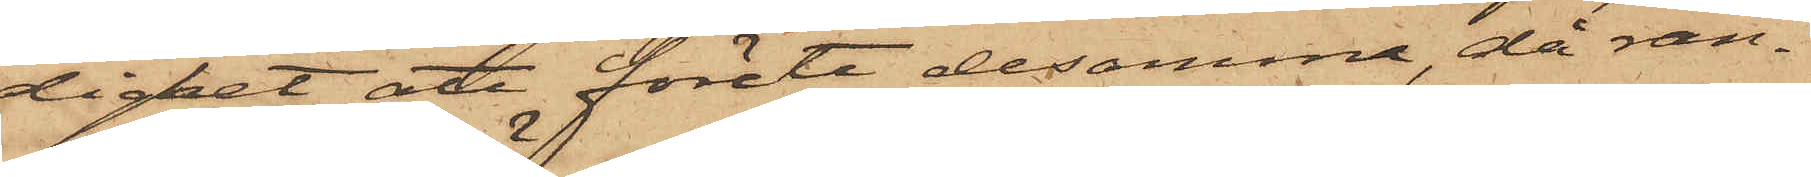dighet att förete desamma, då ran¬
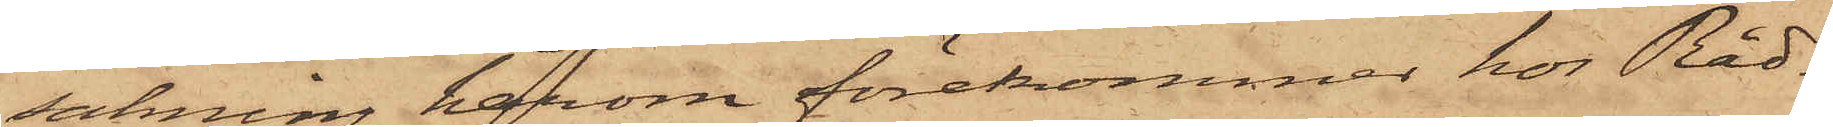sakning härom förekommer hos Råd¬
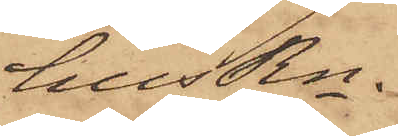husRn.
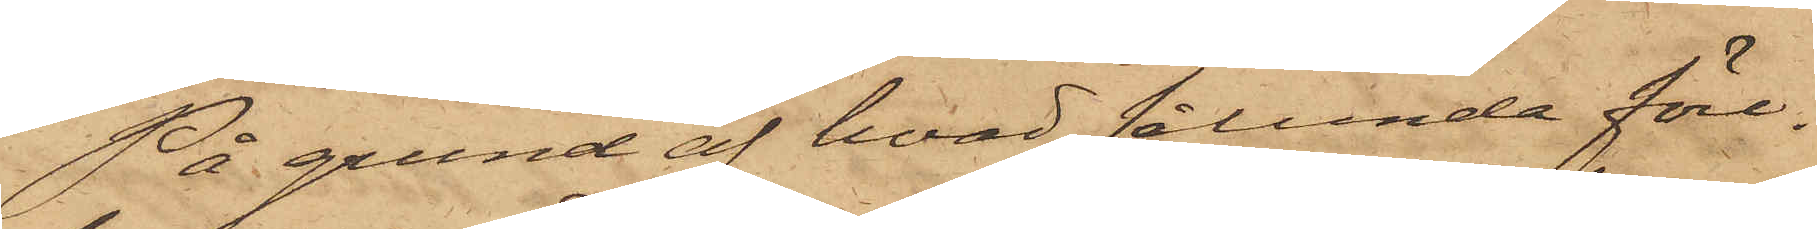På grund af hvad sålunda före¬
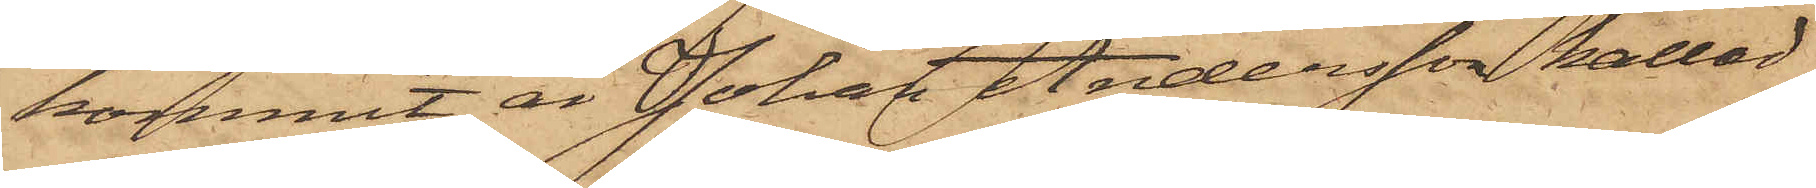kommit, är Johan Andersson kallad
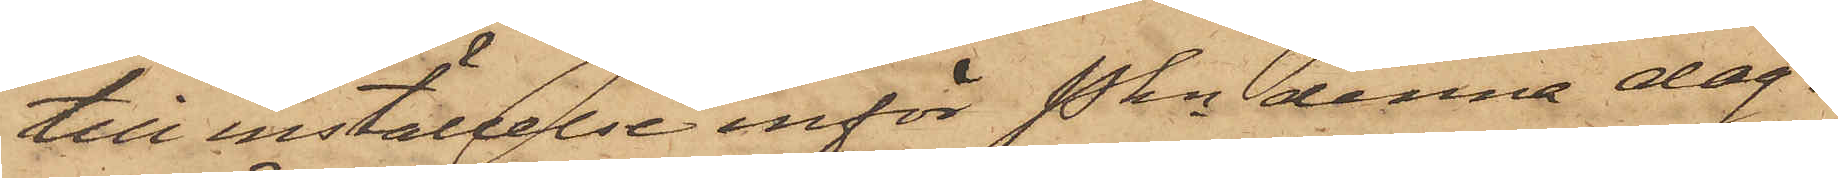till inställelse inför Pkn denna dag.
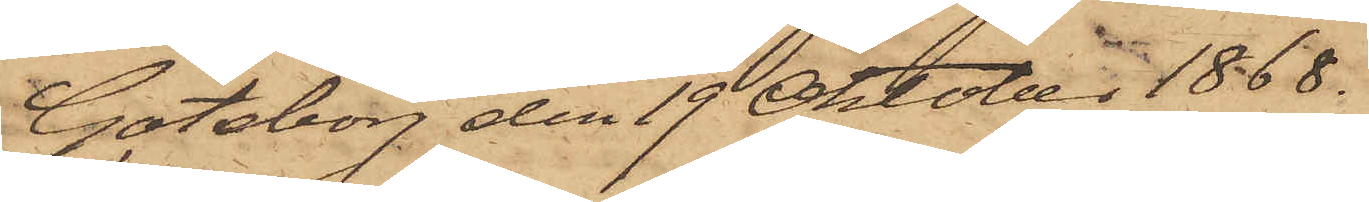Göteborg den 19 Oktober 1868.
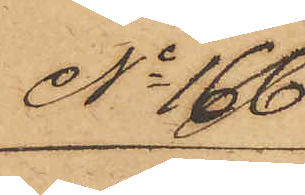No 166
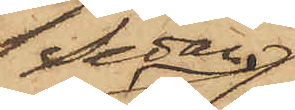Sedan
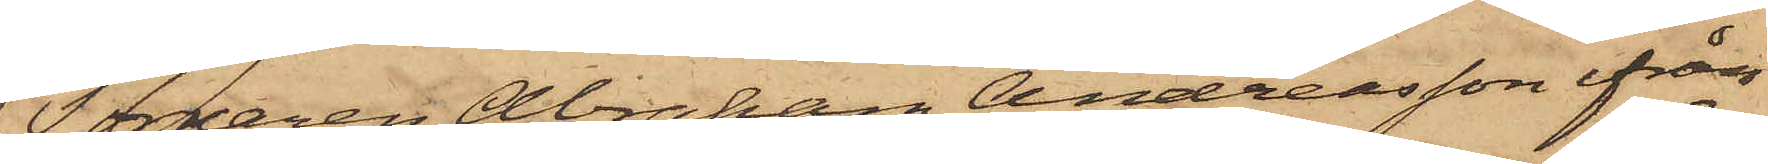Torparen Abraham Andersson ifrån
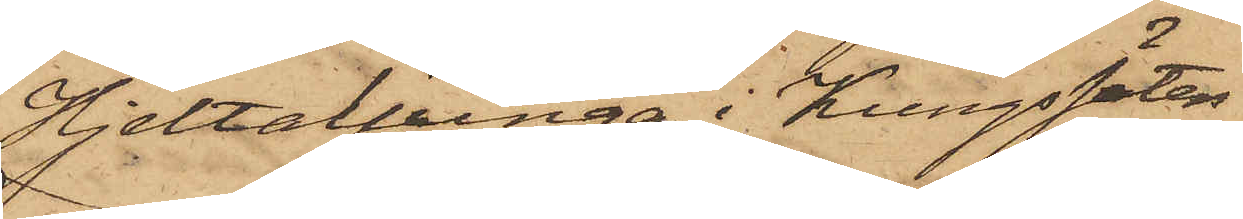Hjeltaljunga i Kungssäter
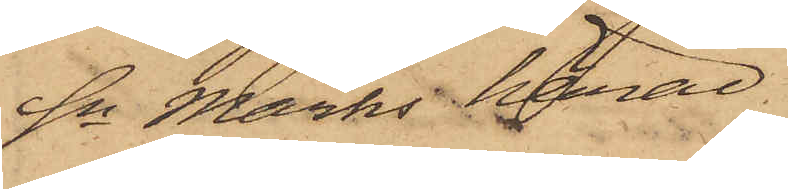Sn Marks härad
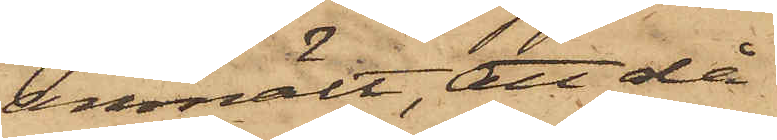anmält, att då
